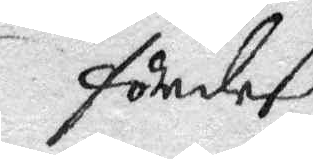fördeß
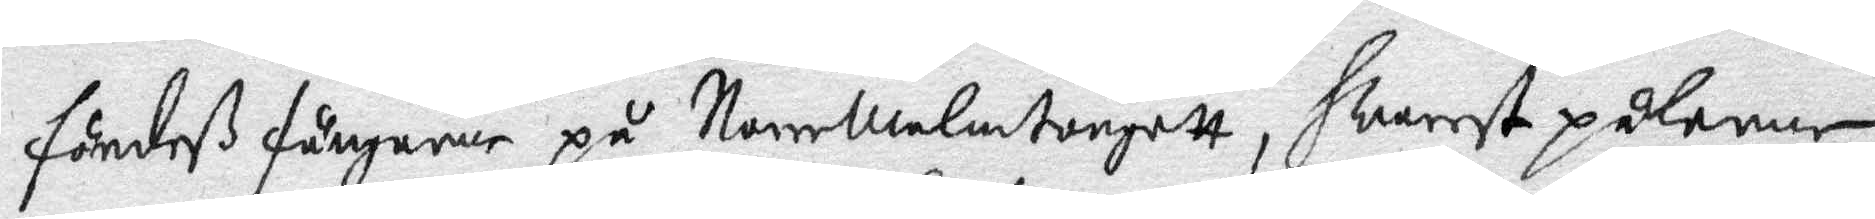fördeß fångarne på Norrmalmstorgett, hwarets pålarne
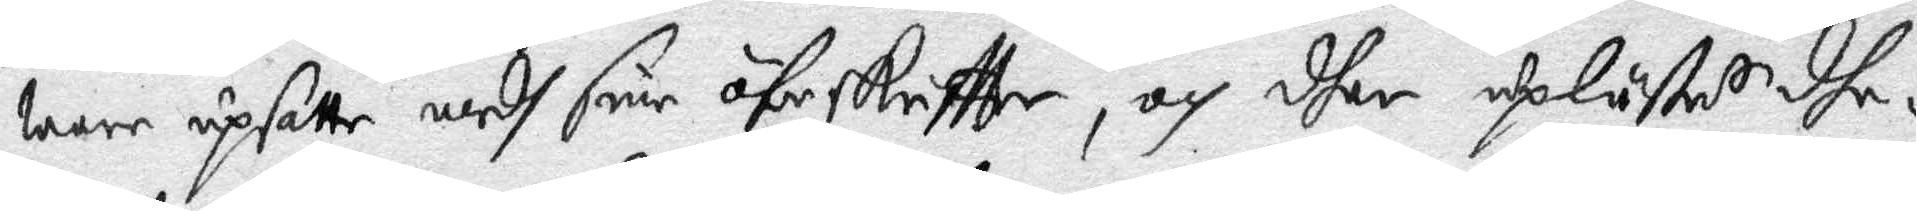warr upsatte medh sine öferskrifften, och dher uplästes dhe¬
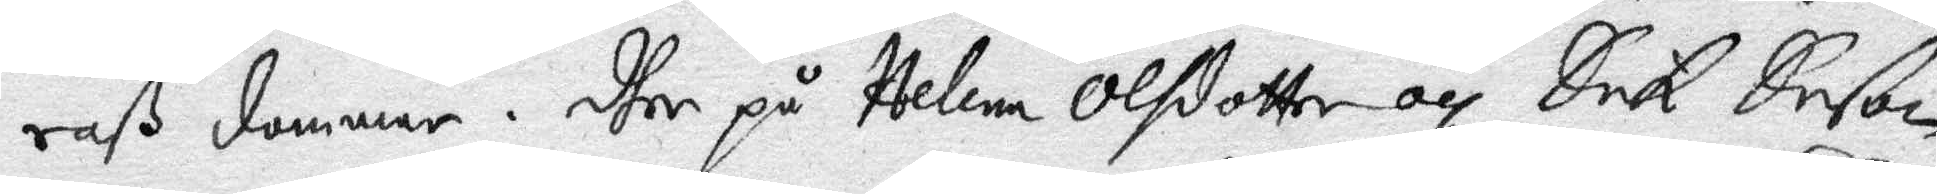saß dommar. dher på Helena Olsdotter och Erik rsson
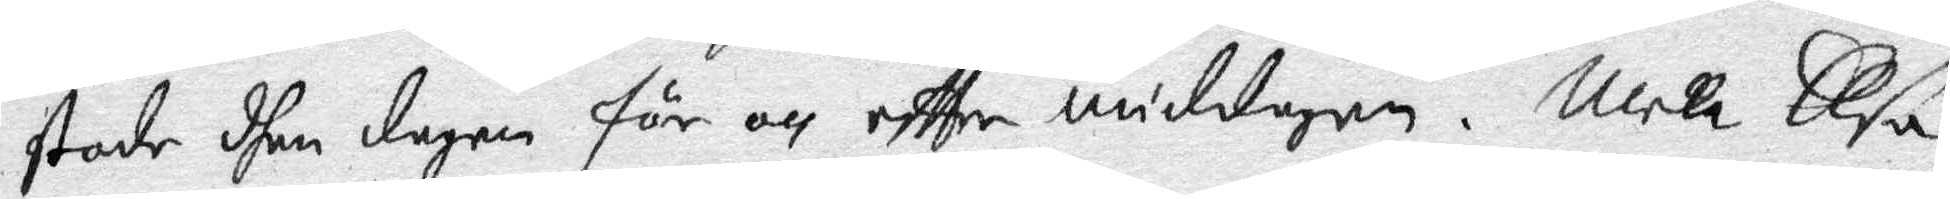stode dhen dagen för och effter middagen. Men Elsa
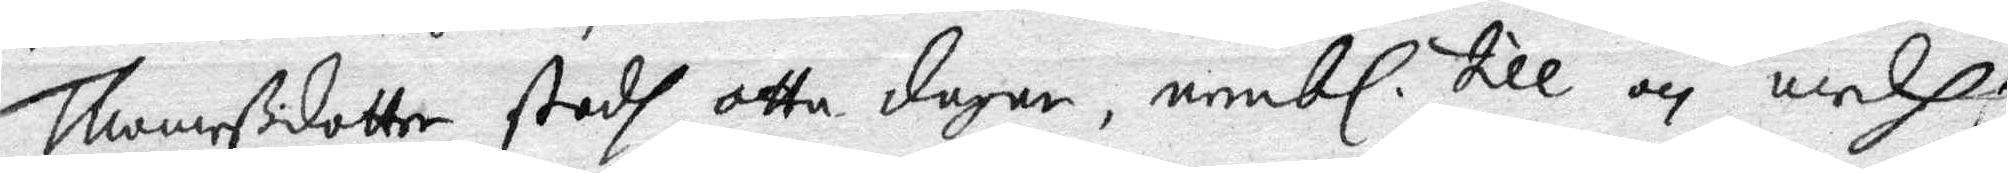Thomaßdotter stodh otta dagar, nembl. till och medh
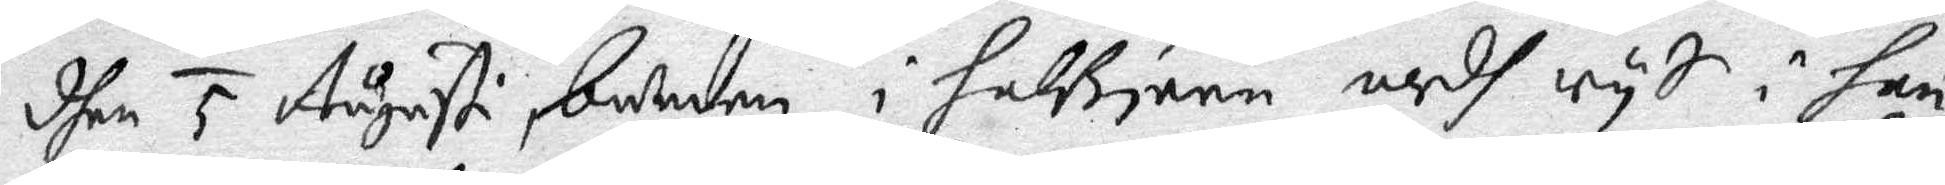dhen 6 Augusti, bunden i halsjern medh rys i han¬
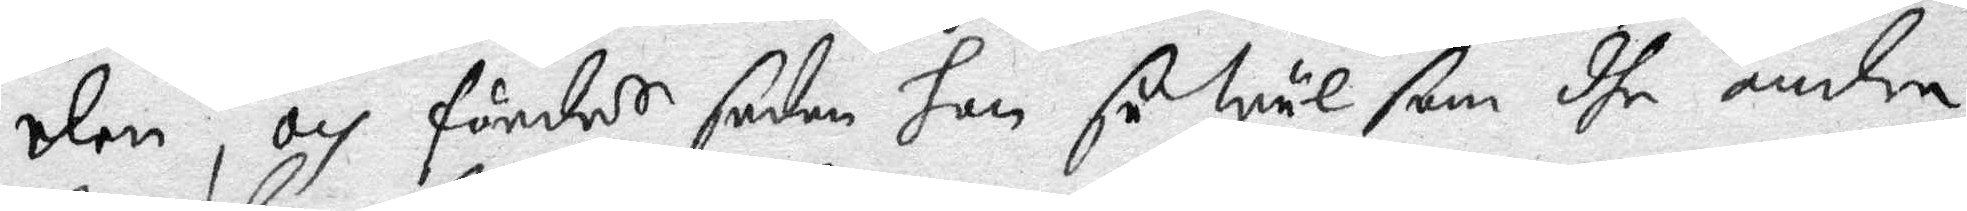den, och fördes sedan hon såwäl som dhe andra
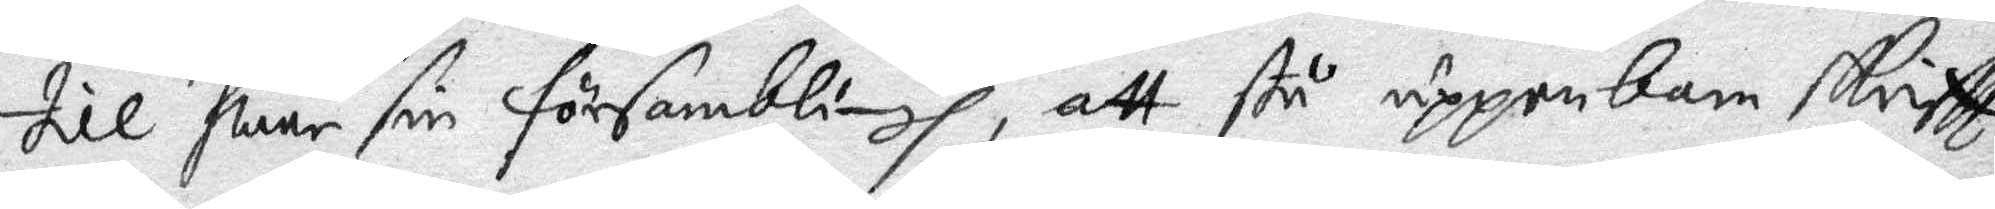till hwar sin församblingh, att stå uppenbare skrifft
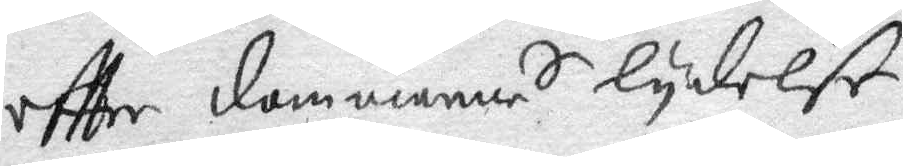effter dommarnes lydelse. 
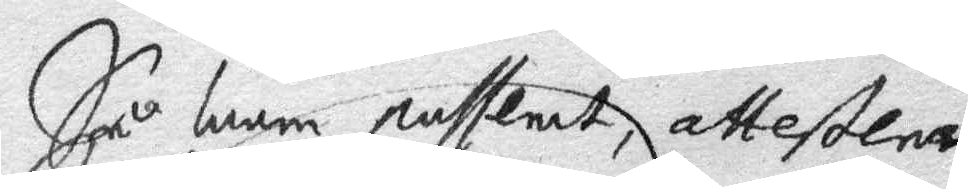Så ware passerat, attesterar
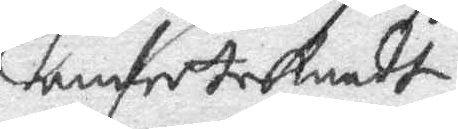underteknadt
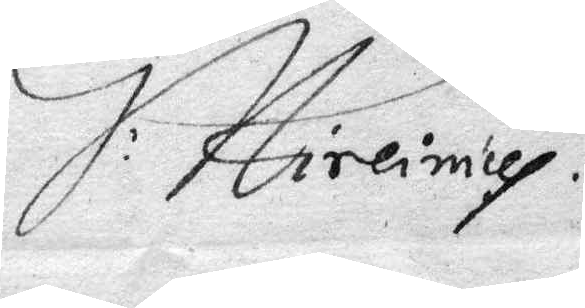J: Hireimus
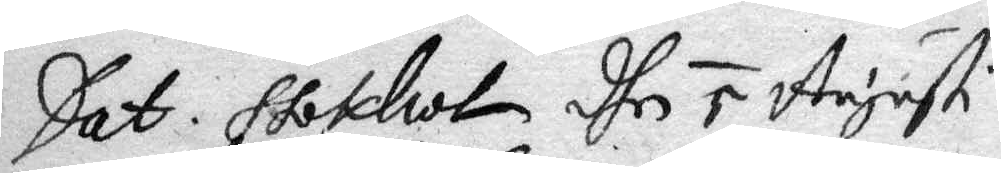Dat. Stockholm dhen 5 Augusti
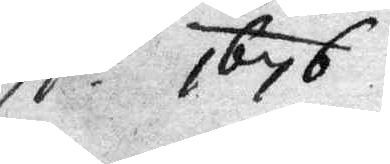A.o 1676.
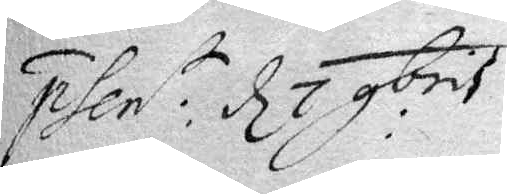phent: d 7 obris
